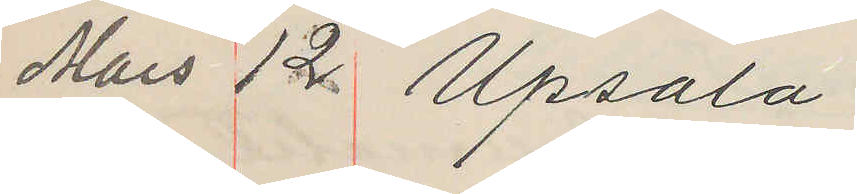Mars 12. Upsala
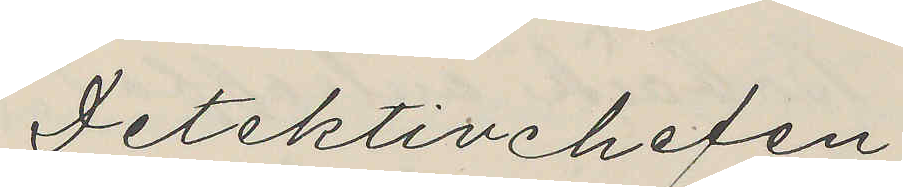Detektivchefen
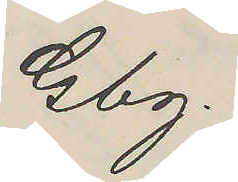Gbg.
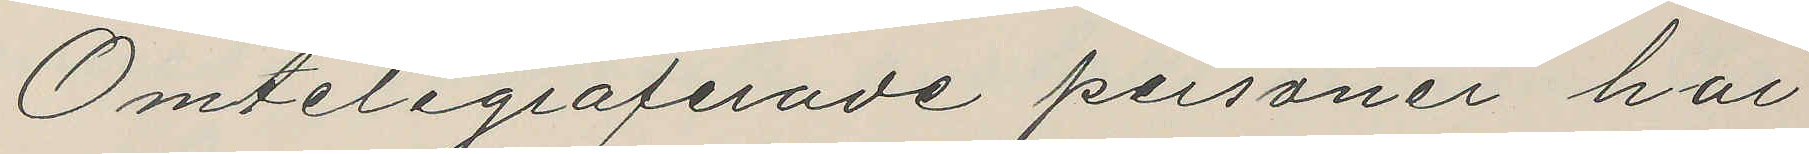Omtelegraferade personer har
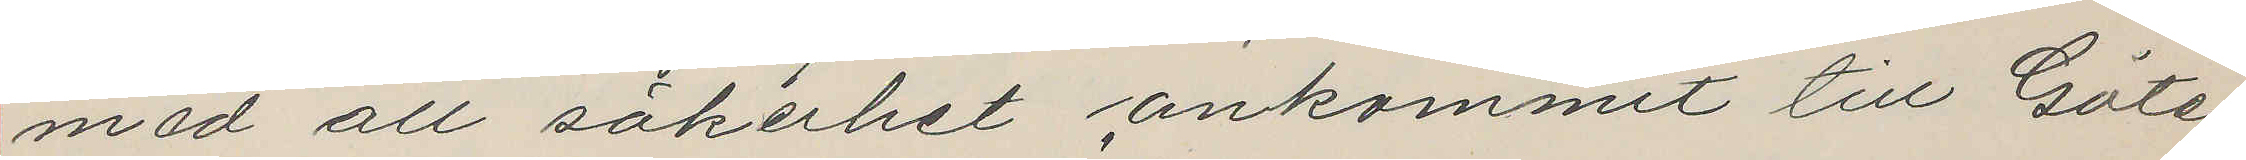med all säkerhet ankommit till Göte¬
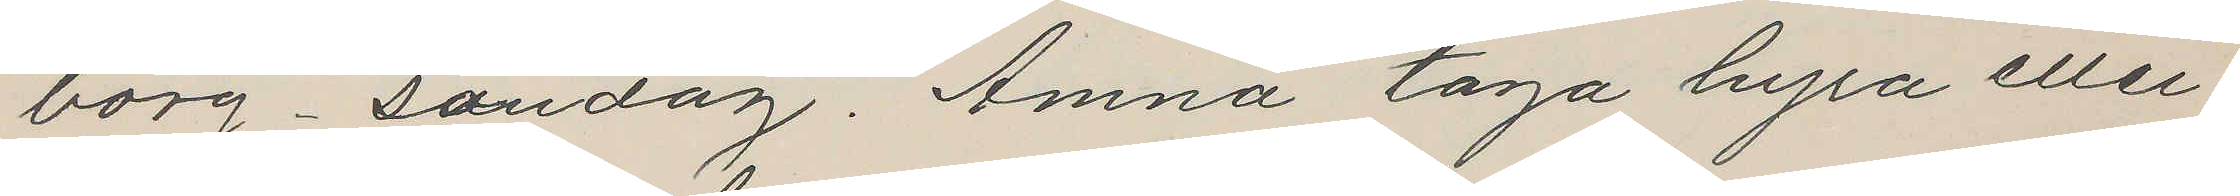borg söndag. Ämna taga byra eller
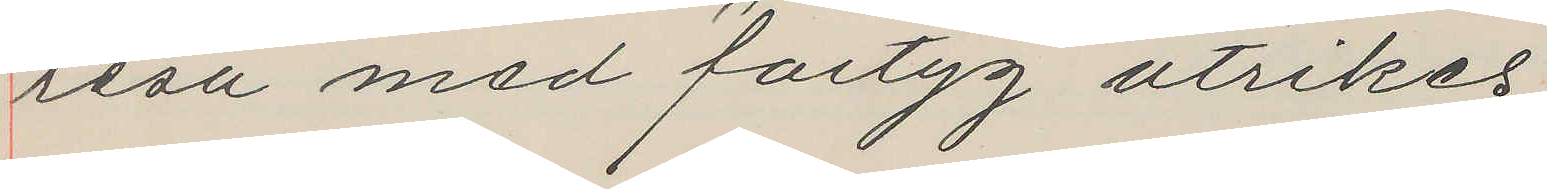resa med fartyg utrikes
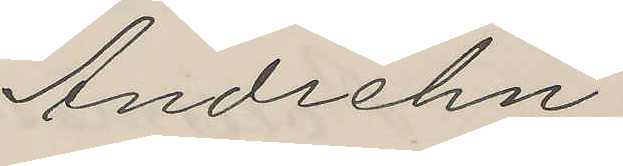Andrehn
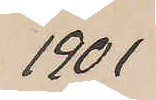1901
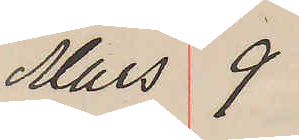Mars 9
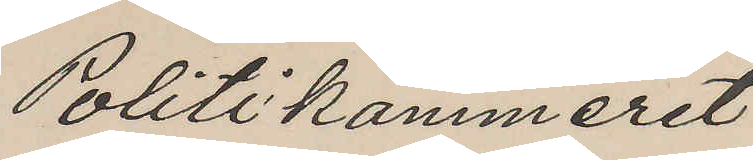Politikammeret
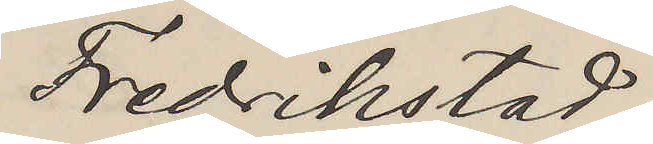Fredrikstad.
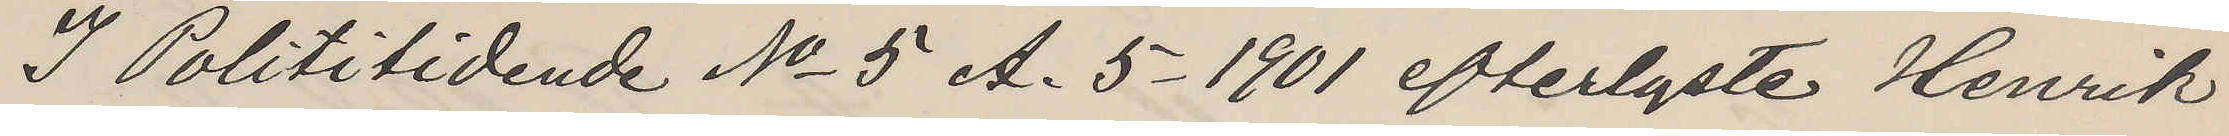I Polititidende No 5 A. 5-1901 efterlyste Henrik
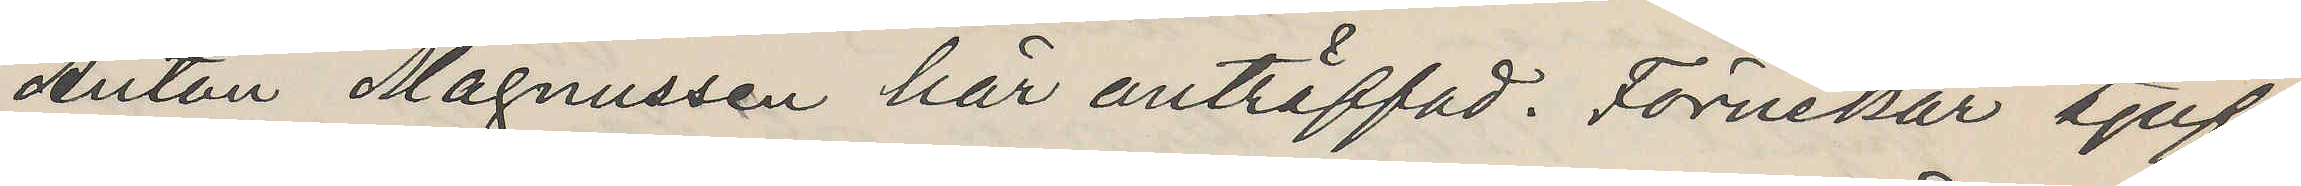Anton Magnussen här anträffad. Förnekar tjuf¬
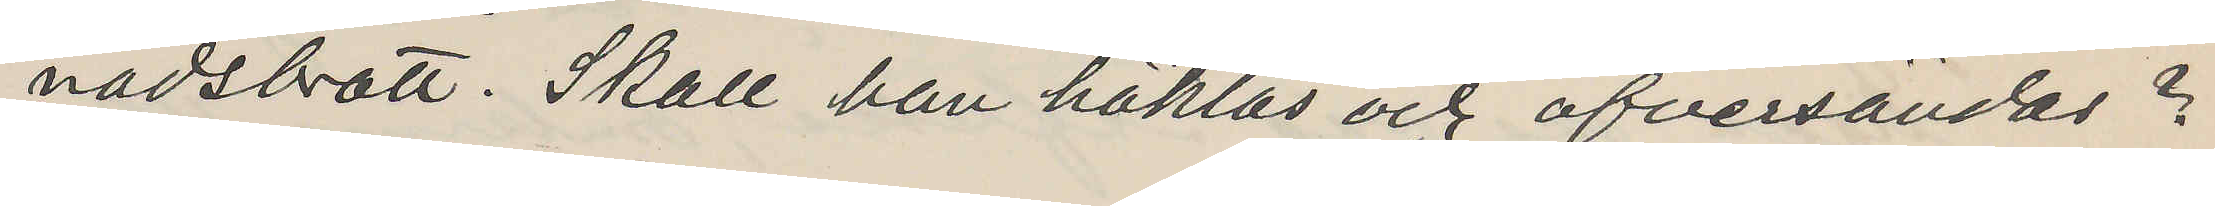nadsbrott. Skall han häktas och öfversändas?
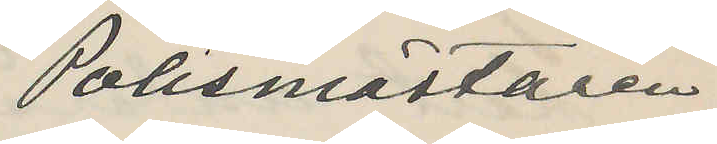Polismästaren
